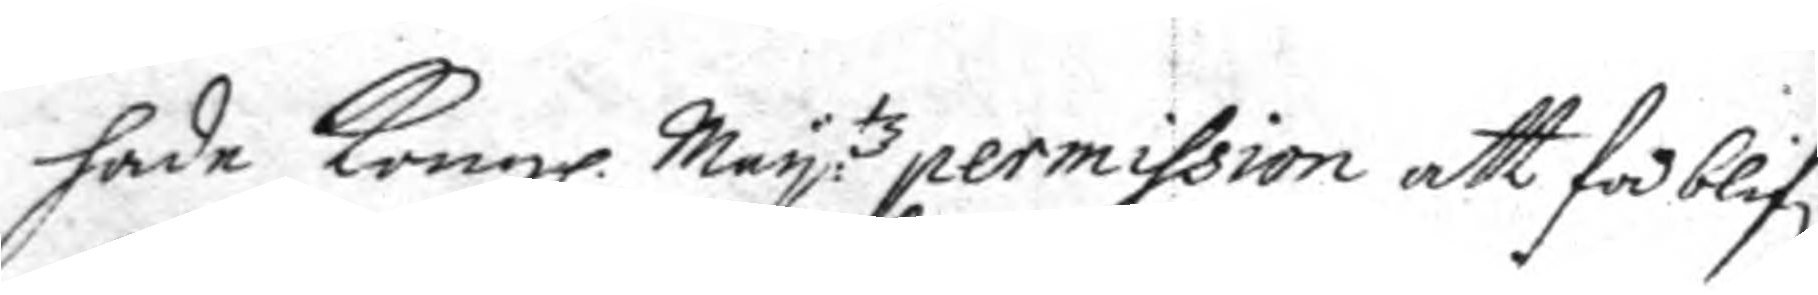hade Kongl. May:tz permission att få blif:a
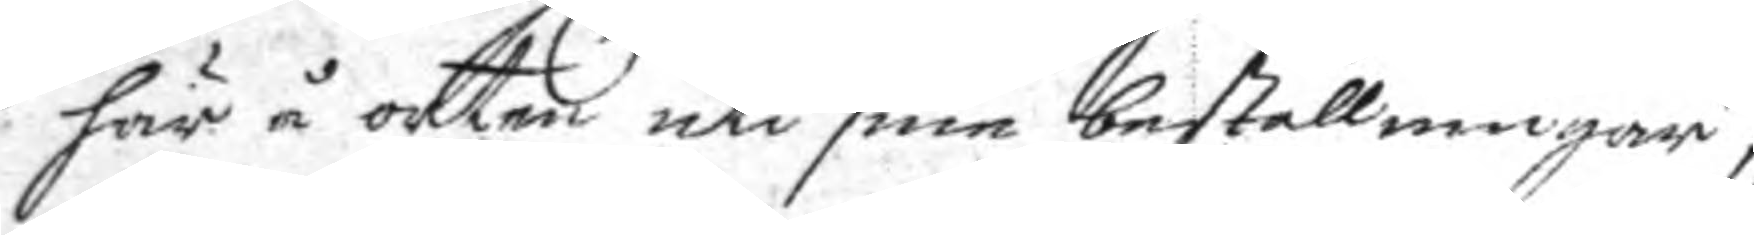här å orten uti sine beställningar,
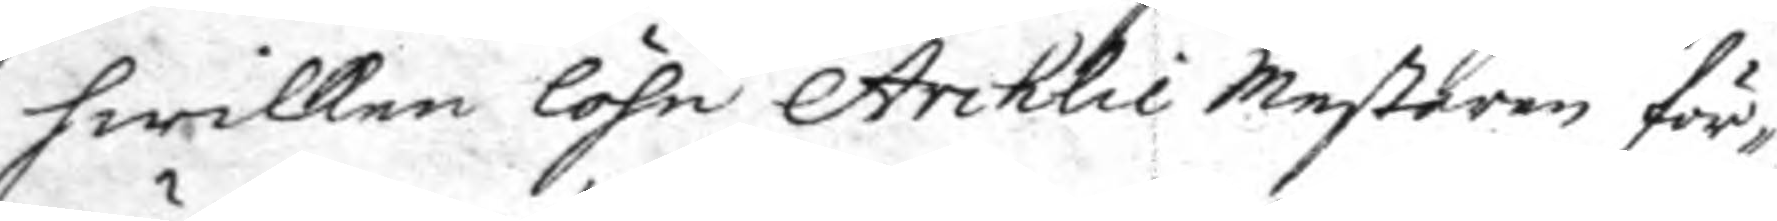hwilken löhn Archlie Mestaren för¬
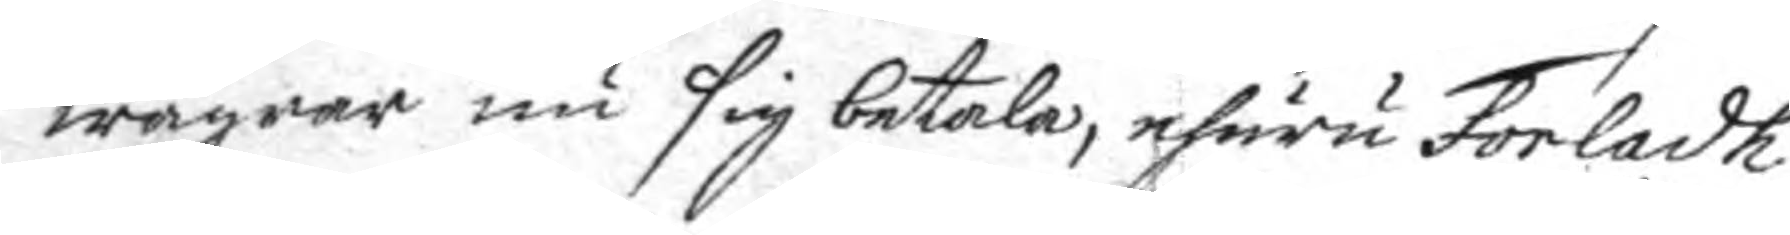wägrar nu sig betala, ehuru Forladh
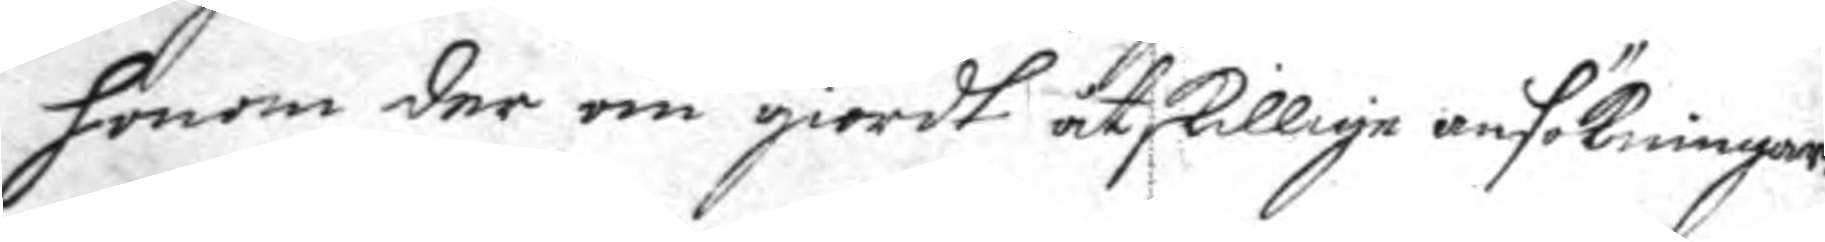honom der om giordt åtskillige ansökningar.
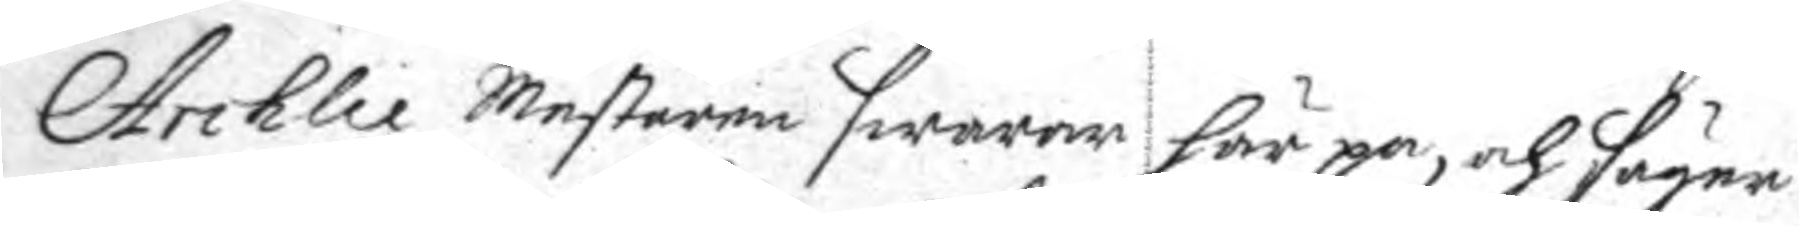Archlie Mestaren swarar här på. och säger
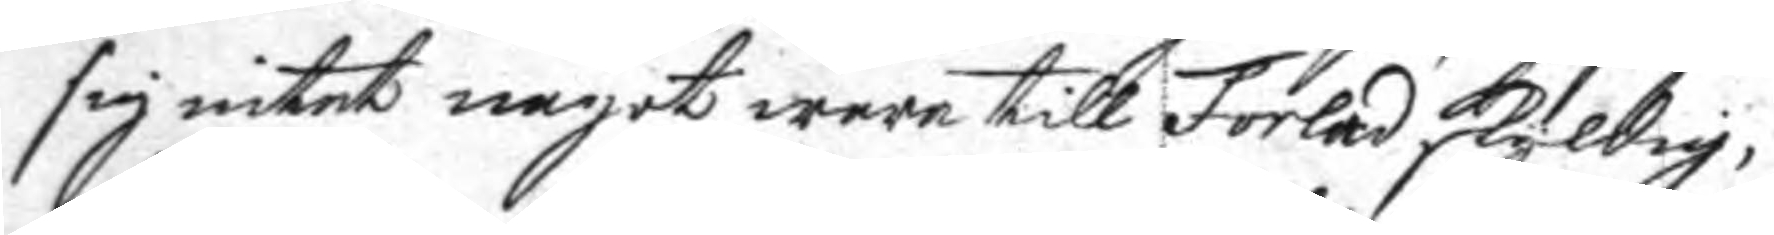sig intet något wara till Forled skyldig,
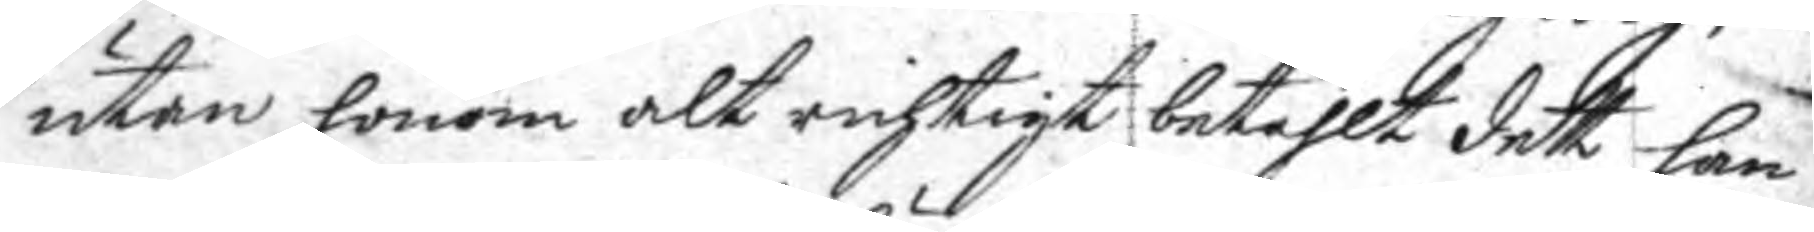uyan honom alt richtigt betahlt dett han
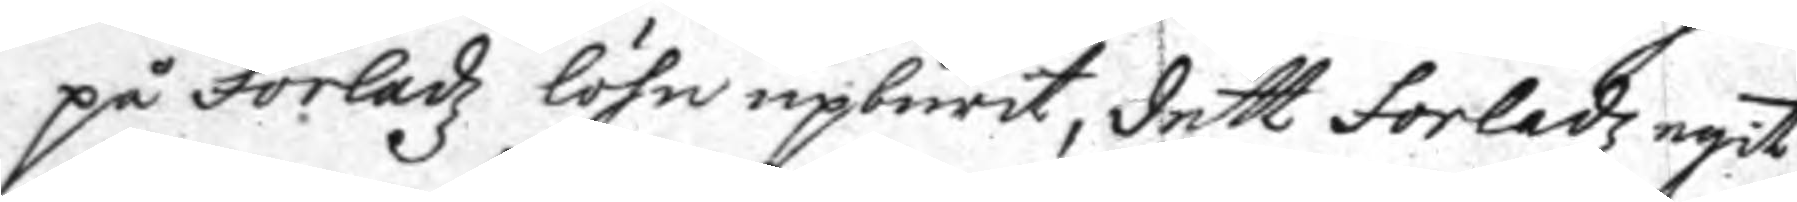på Forledz löhn upburit, dett Forledz egit
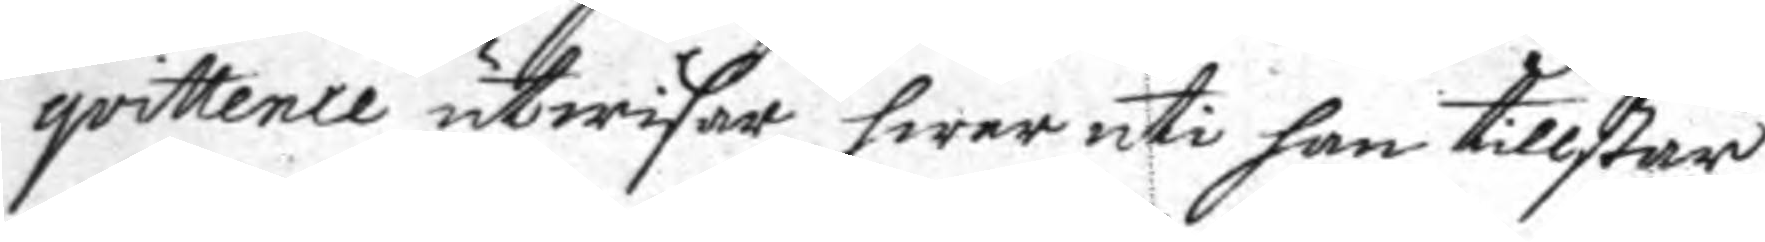qvittence utwisar hwar uti han tillstår
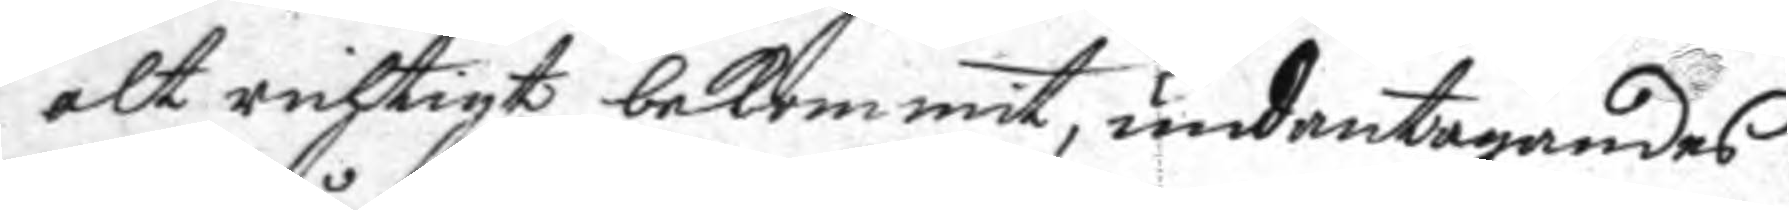alt richtigt bekommit, unantagandes
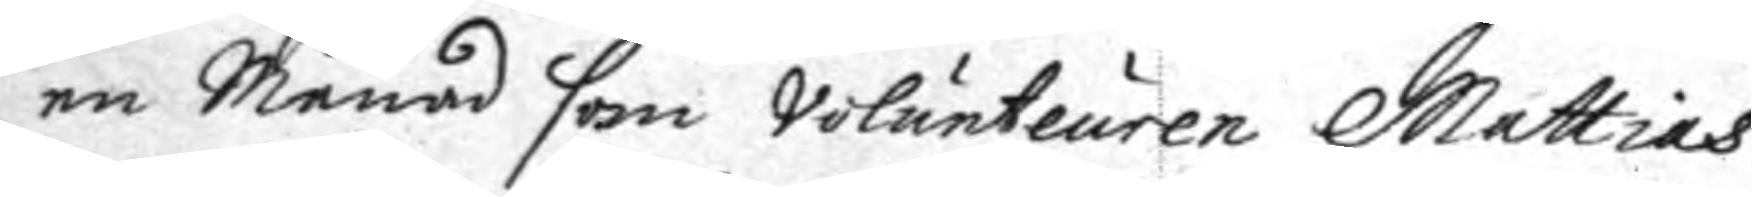en Månad som Volunteuren Mattias
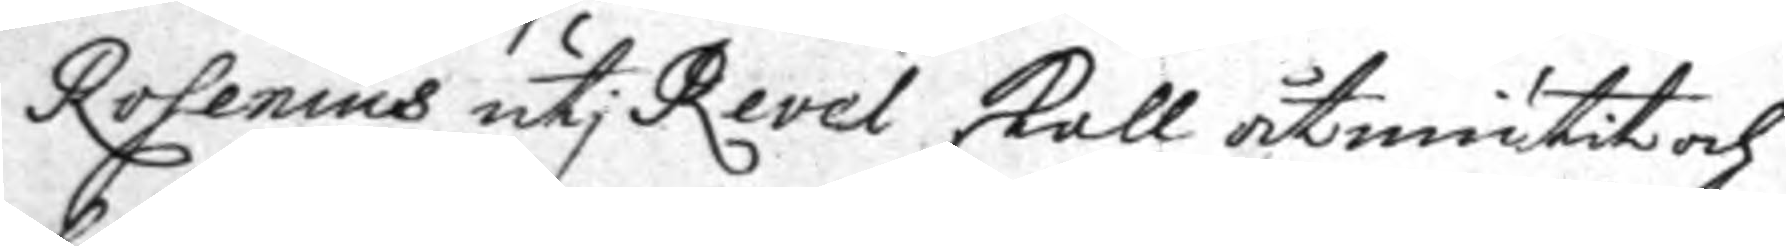Rosenius uti Revel skall åtniutit och
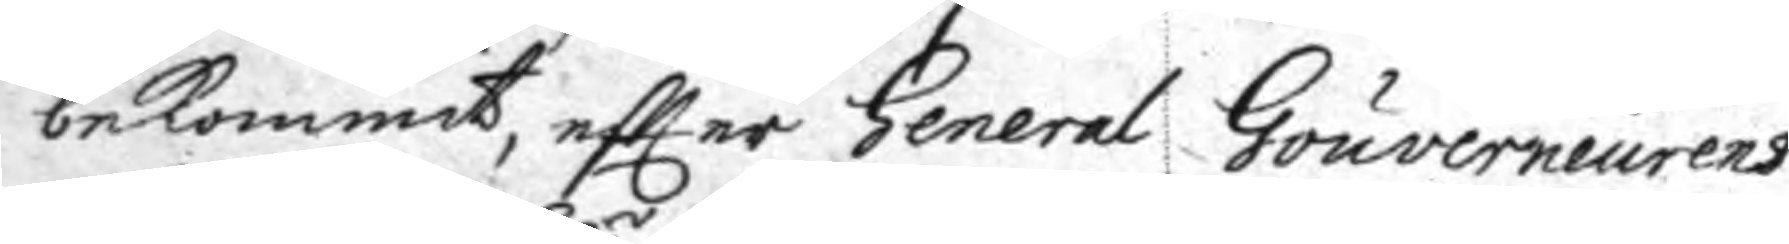bekommit eftter General Gouverneurens
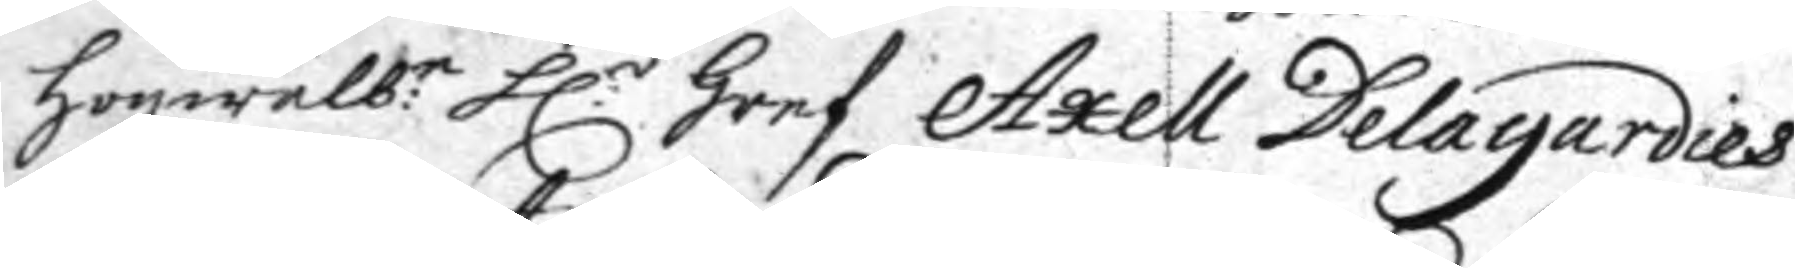högwälb:n h:r Gref Axell Delagardies
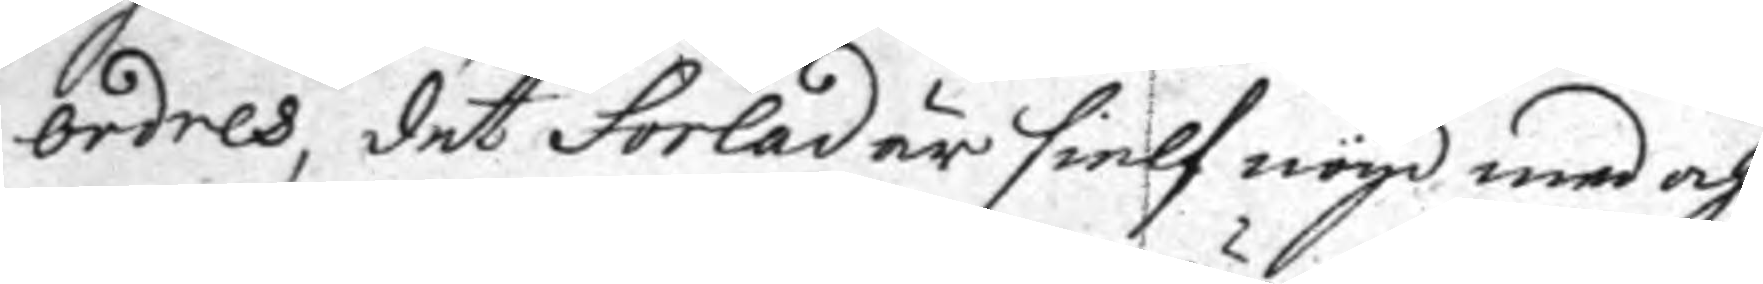ordres, det Forlad är sielf nöyd med och
